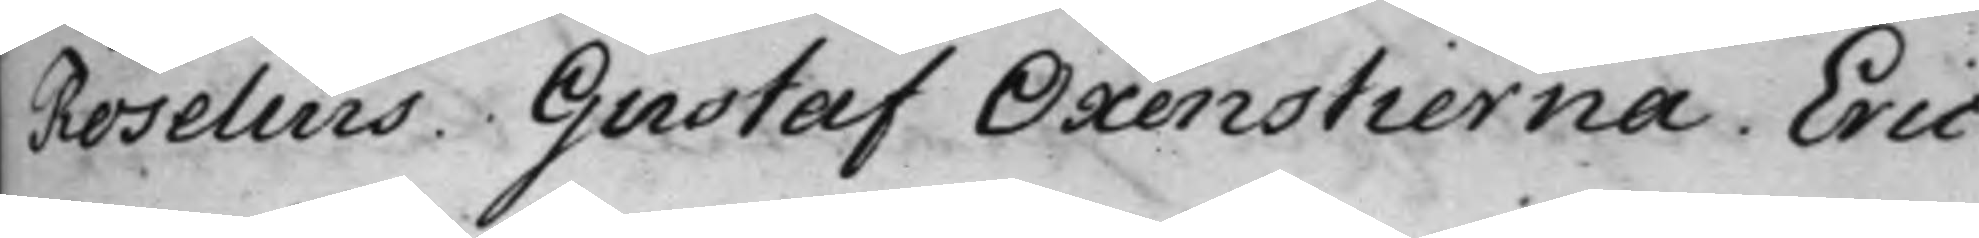Roselius. Gustaf Oxenstierna. Eric
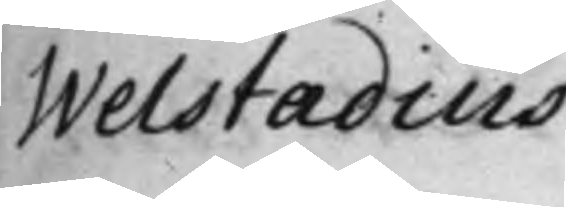Welstadius.
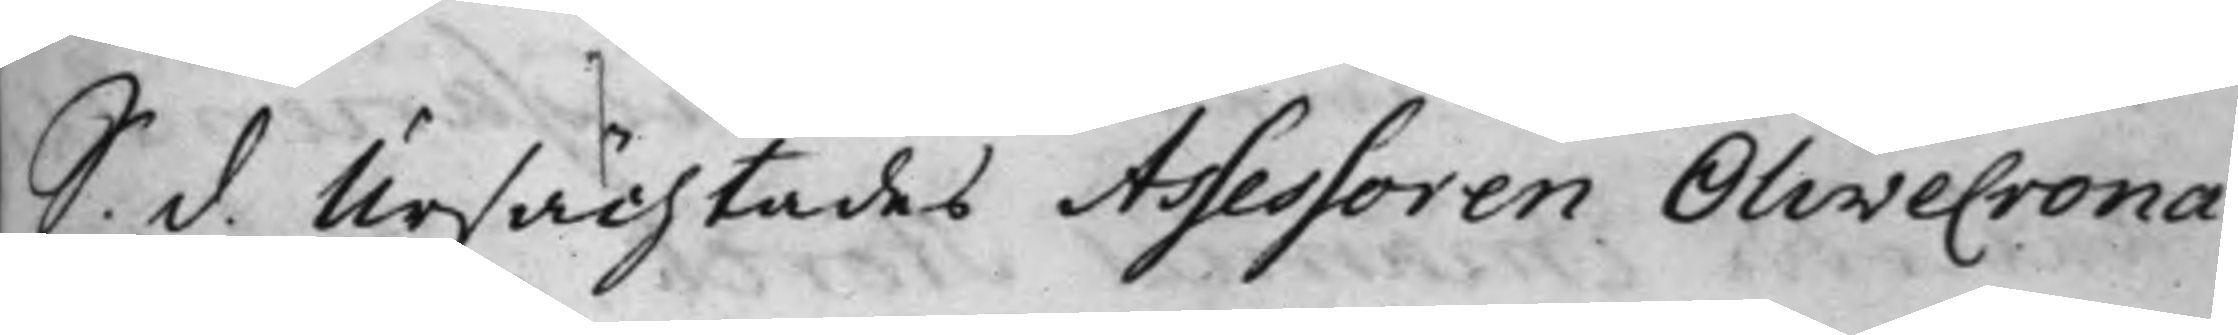S. d. Ursächtades Assessoren Olivecrona
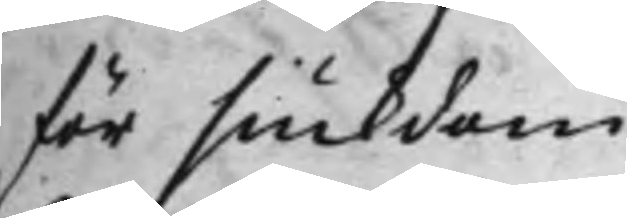för siukdom.
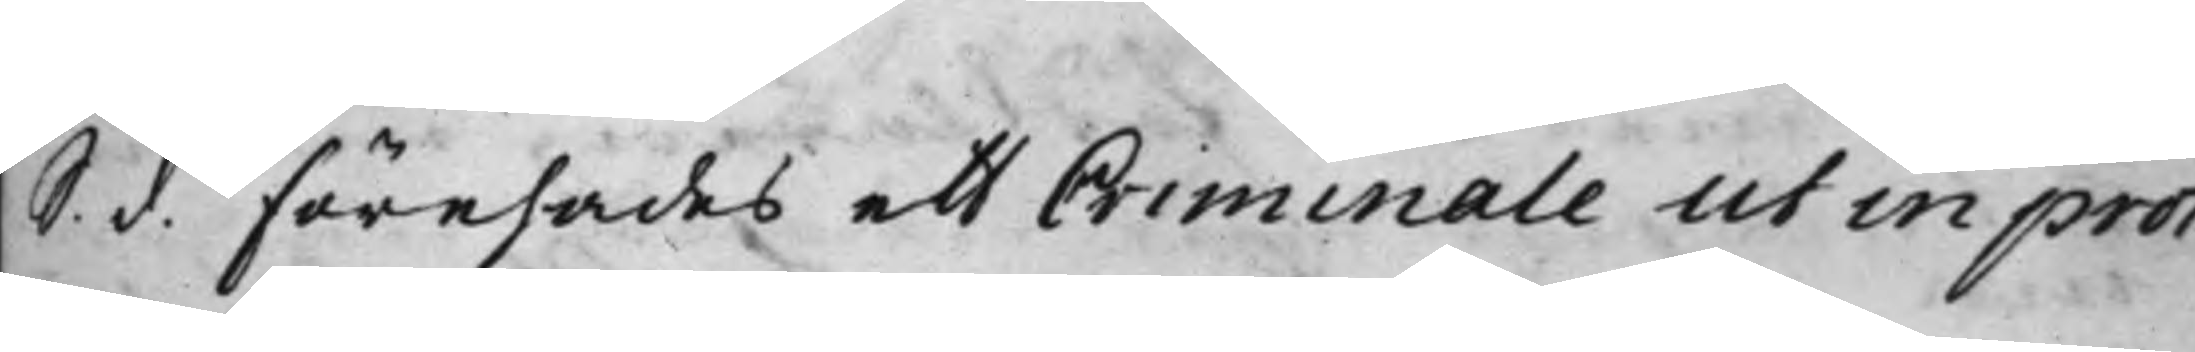S. d. Förehades ett Criminale ut in prot:
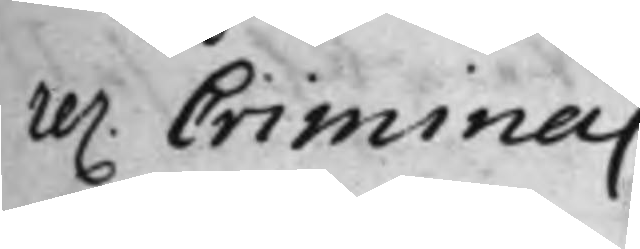re. Crimina.
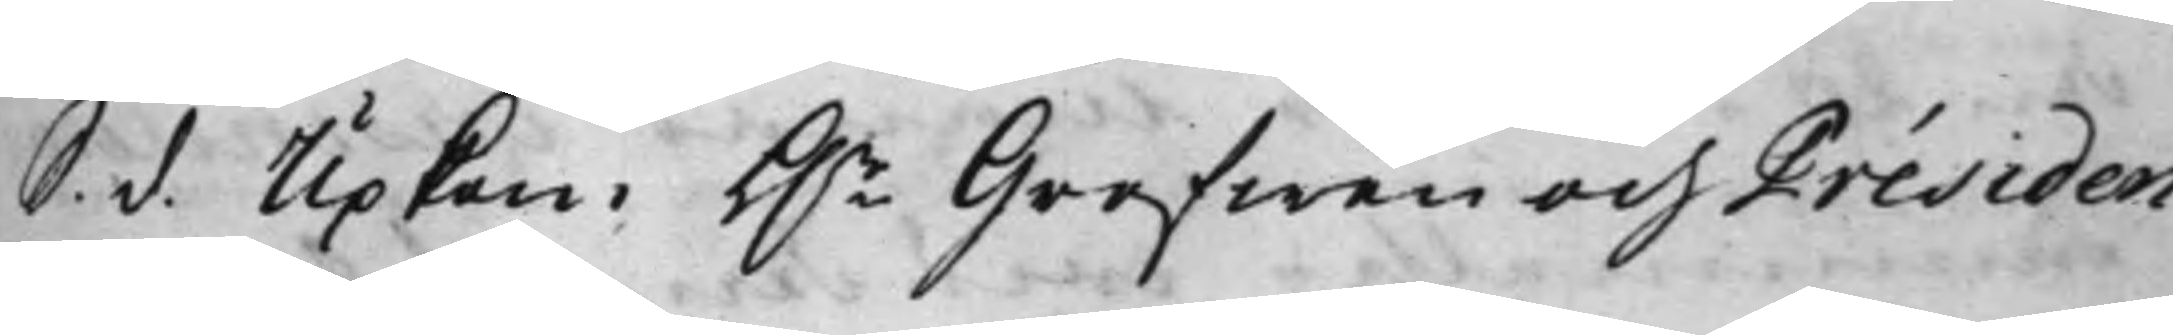S. d. Upkom h.r Grefwen och Présiden¬
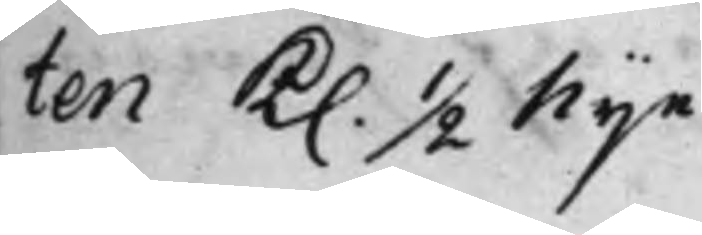ten Kl. ½ Nije.
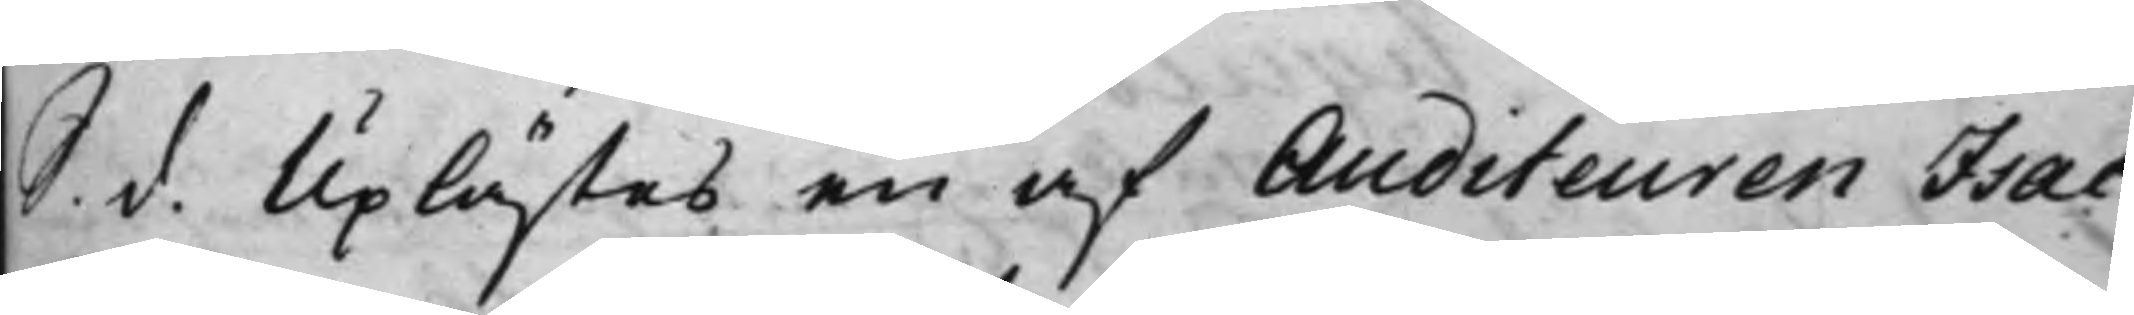S. d. Uplästes en af Auditeuren Isac
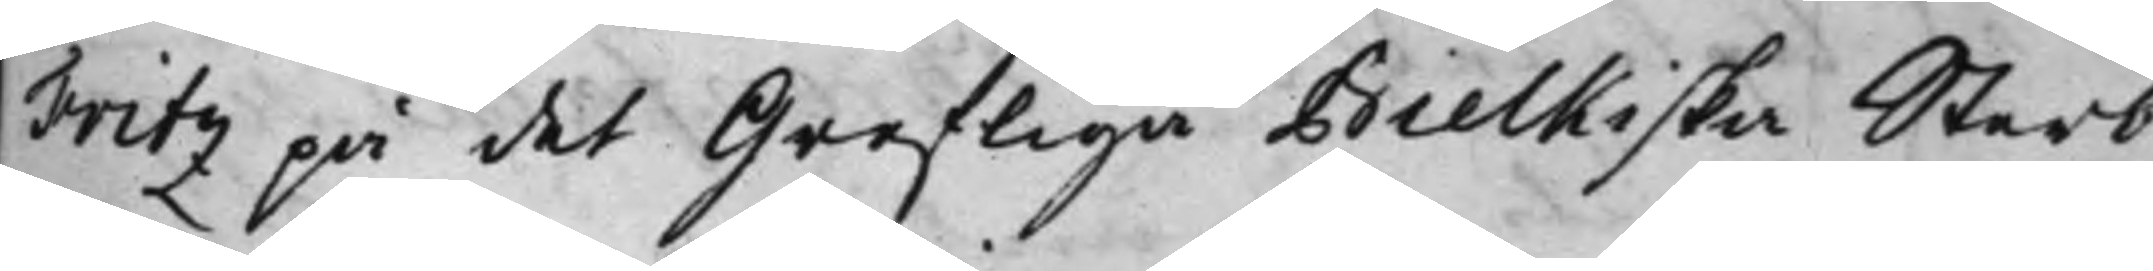Fritz på det Grefliga Bielkiska Sterb¬
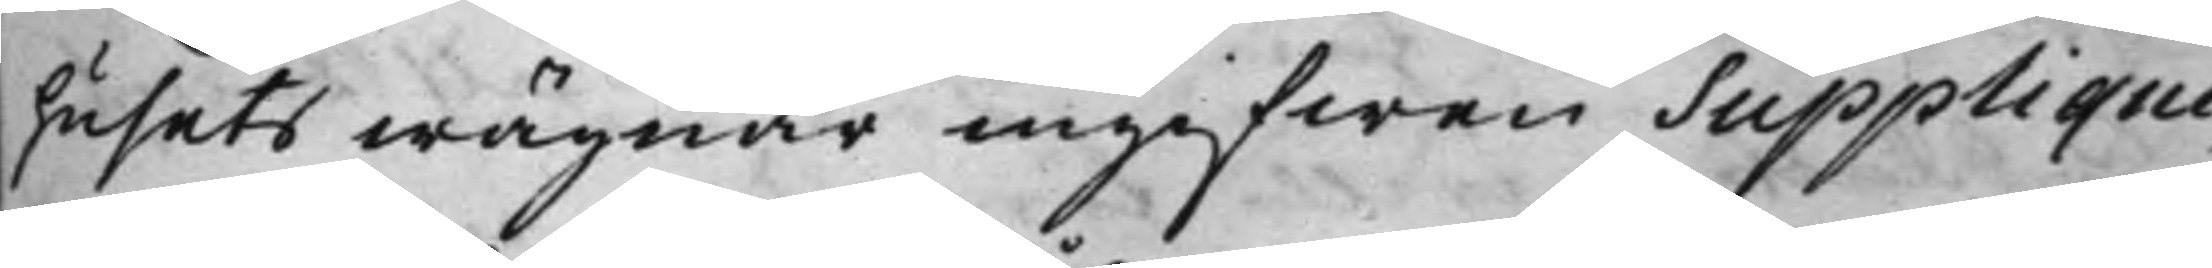husets wägnar ingifwen Supplique,
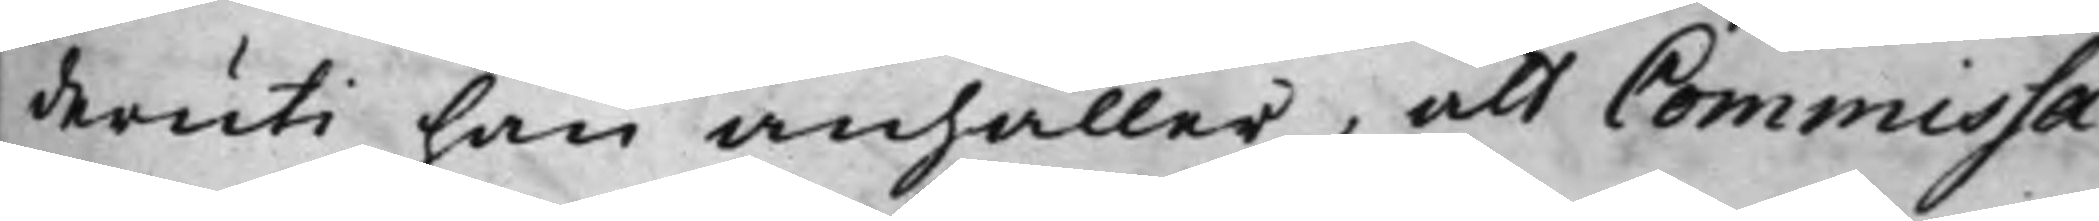deruti han anhåller, att Commissa¬
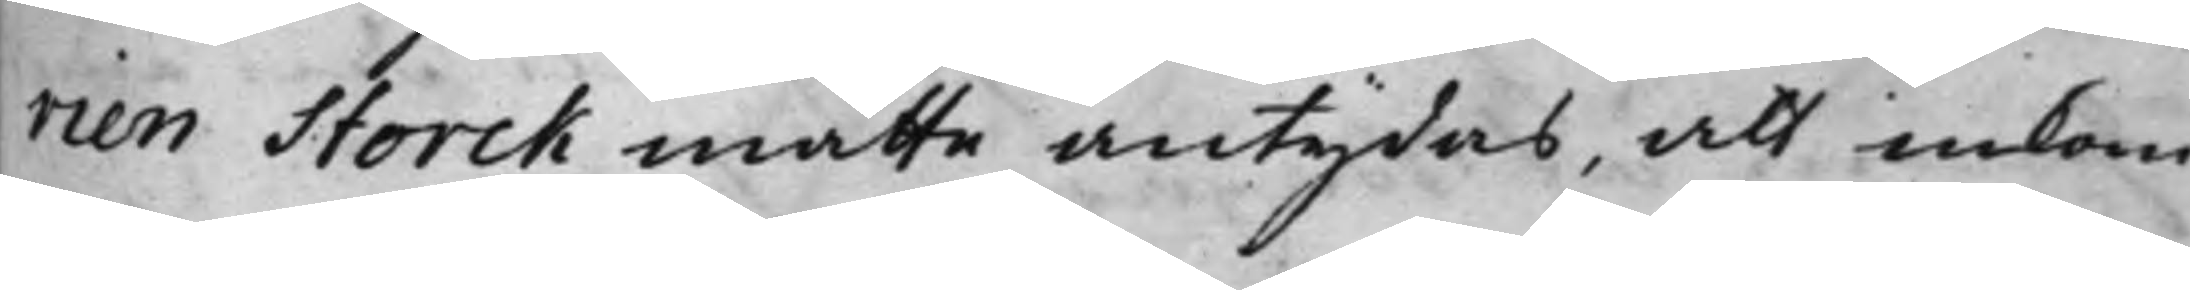rien Storck måtte antydas, att inkom¬
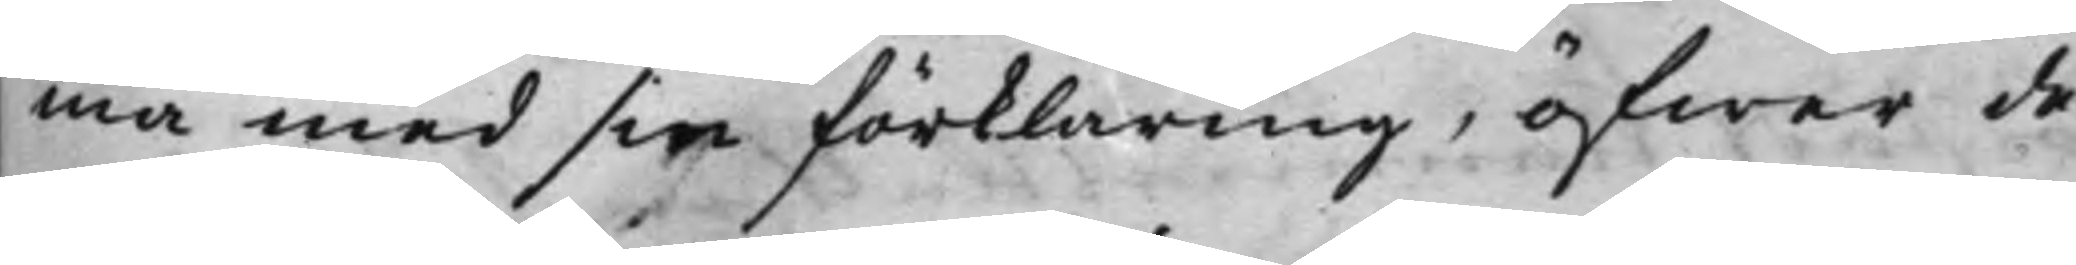ma med sin förklaring, öfwer de
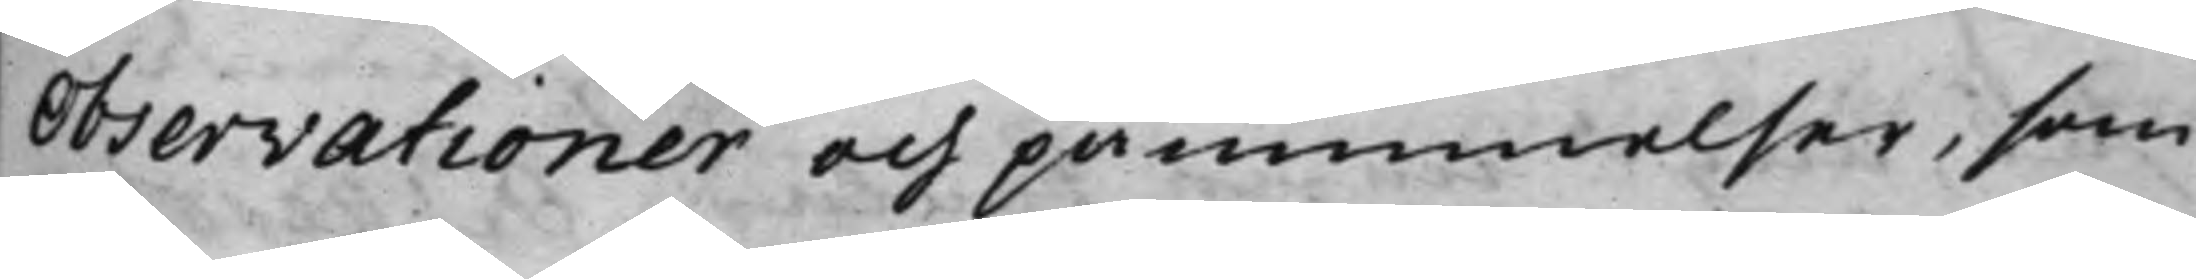observationer och påminnelser, som
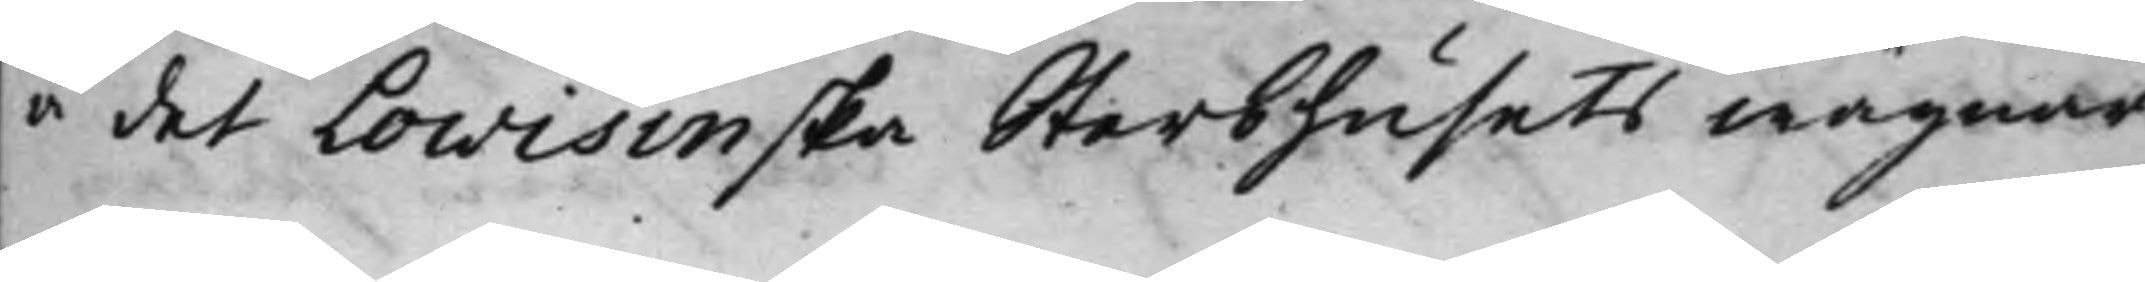å det Lowisinska Sterbhusets wägnar
